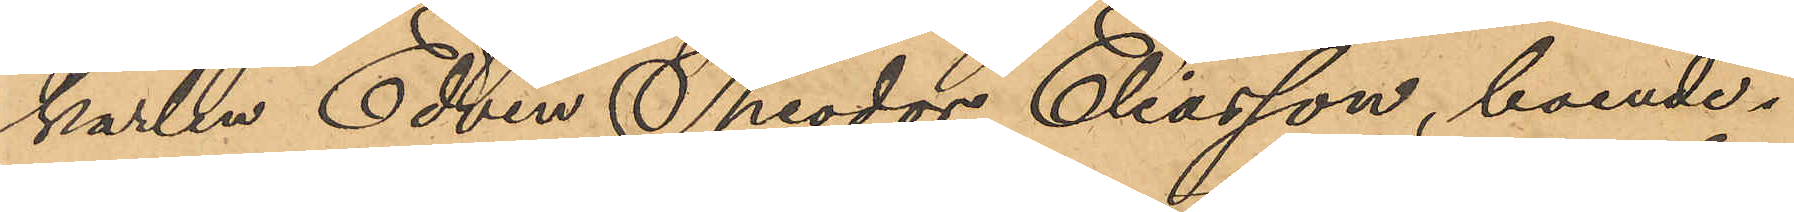karlen Edvin Theodor Eliasson, boende i
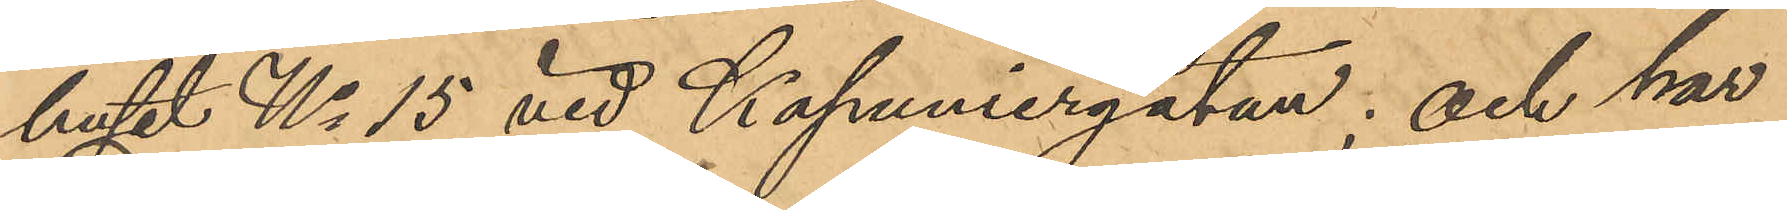huset No 15 vid Kapuniergatan; och har
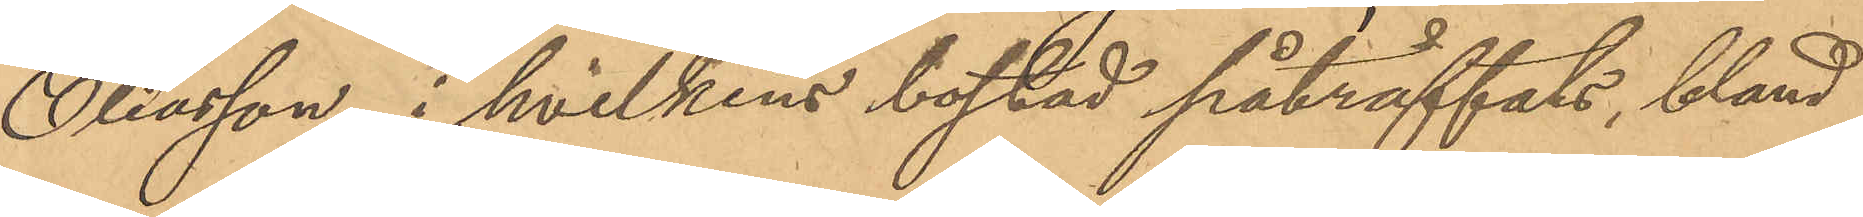Eliasson, i hvilkens bostad påträffats, bland
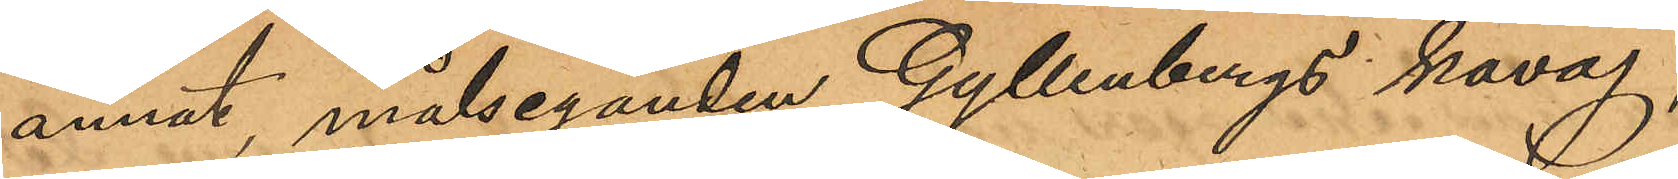annat målseganden Gyllenbergs kavaj,
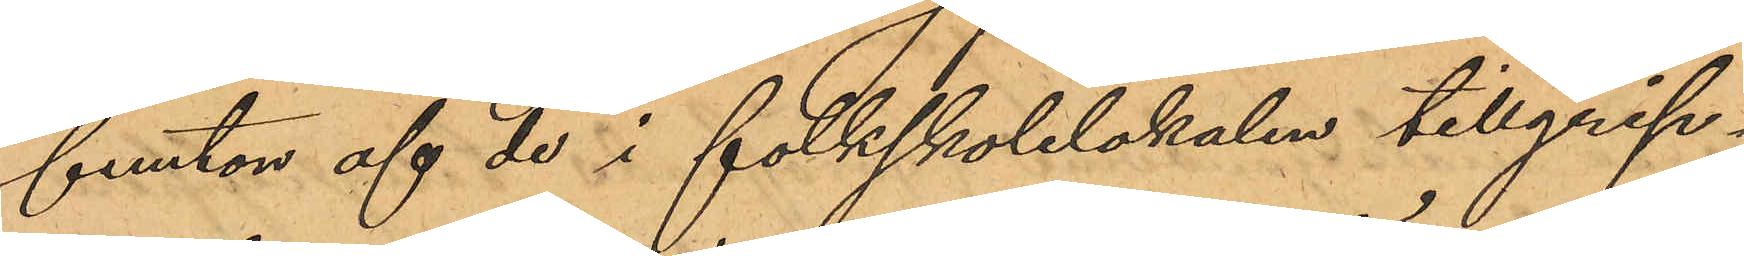femton af de i folkskolelokalen tillgrip¬
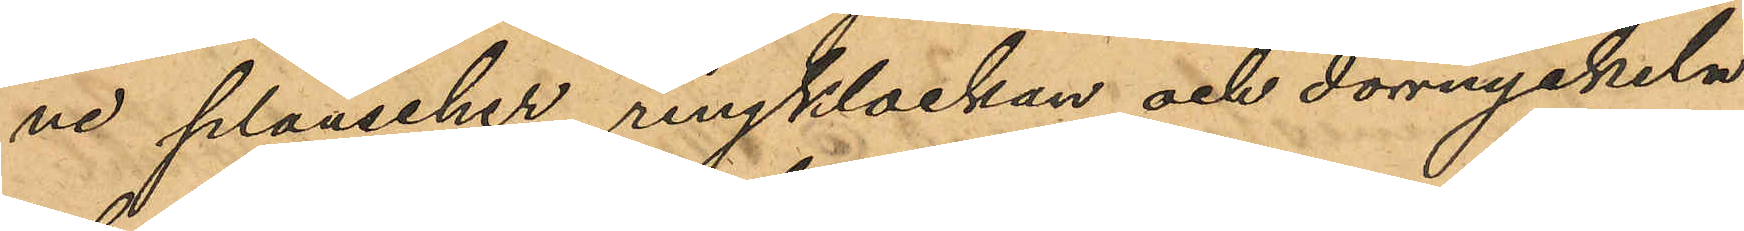ne planscher, ringklockan och dörrnyckeln
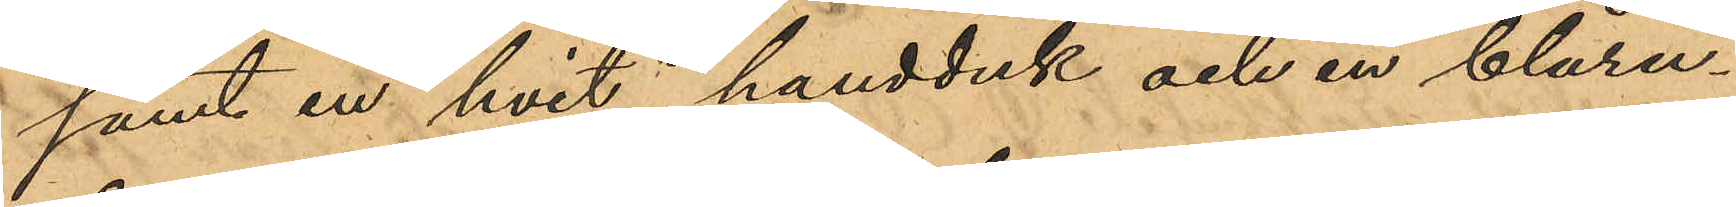samt en hvit handduk och en blåru¬
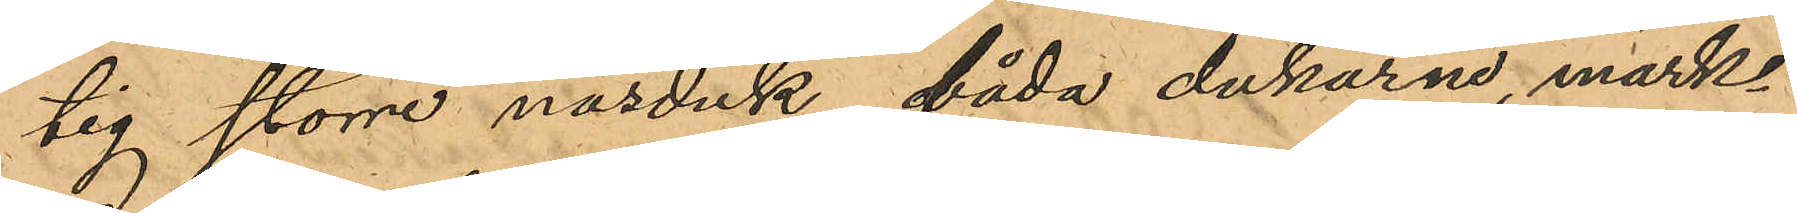tig större näsduk, båda dukarne, märk¬
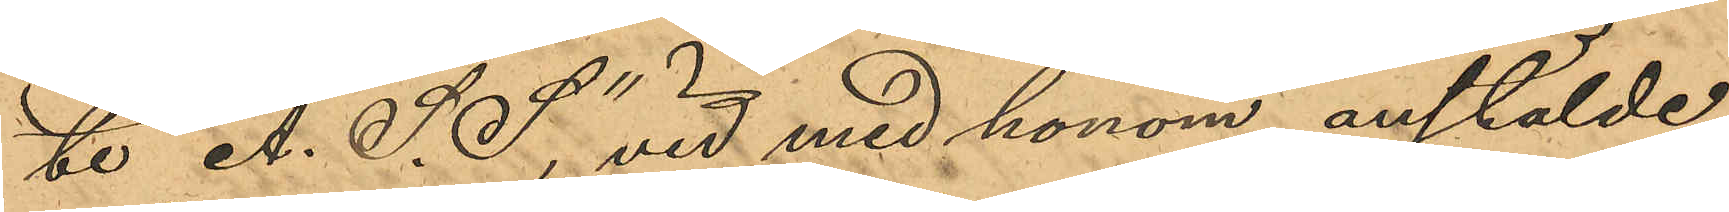te "A. S. S"; vid med honom anstälde
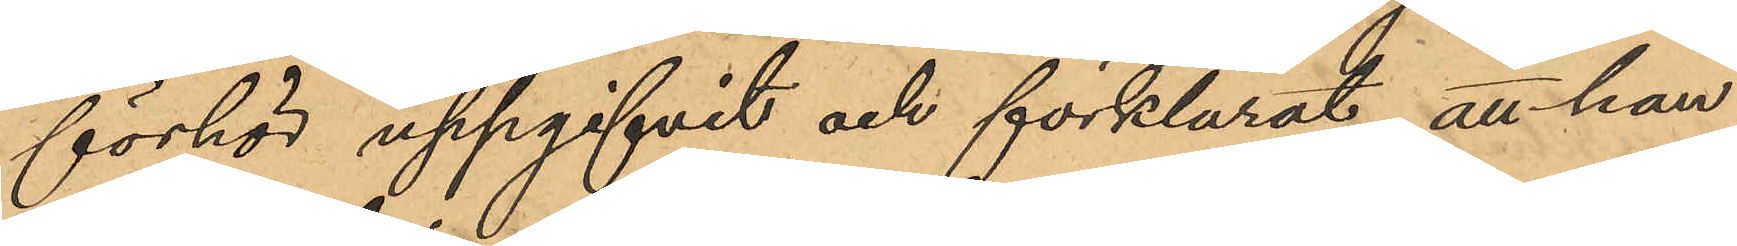förhör uppgifvit och förklarat, att han
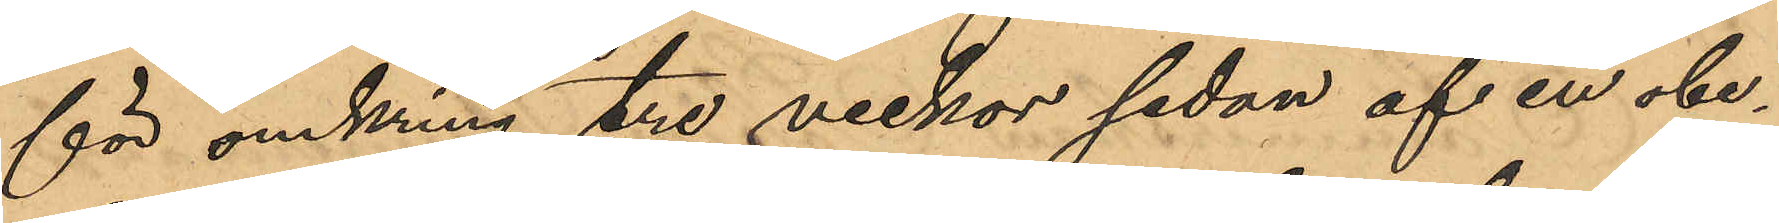för omkring tre veckor sedan af en obe¬
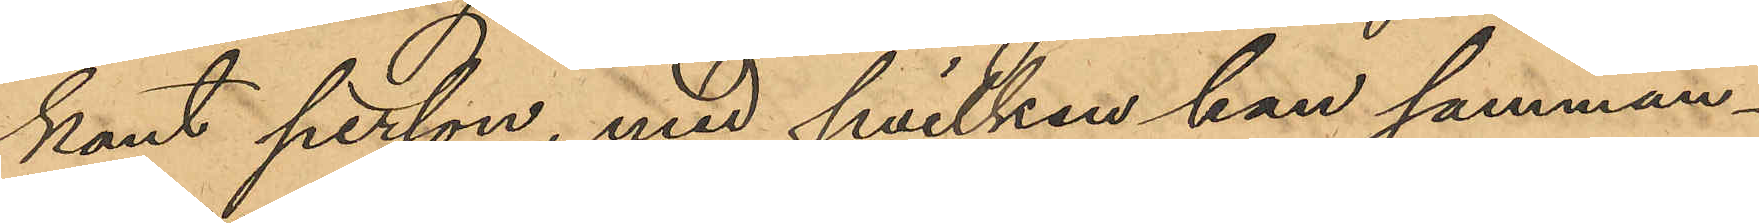kant person, med hvilken han samman¬
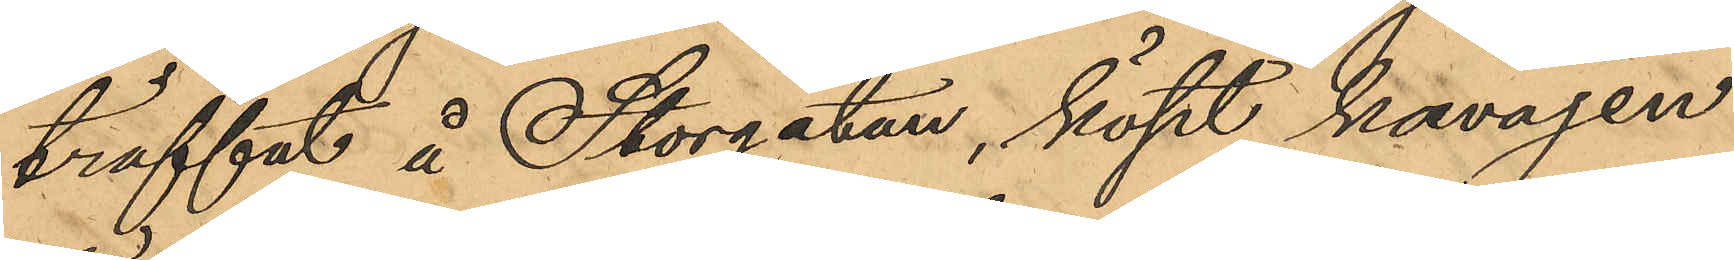träffat å Storgatan, köpt kavajen
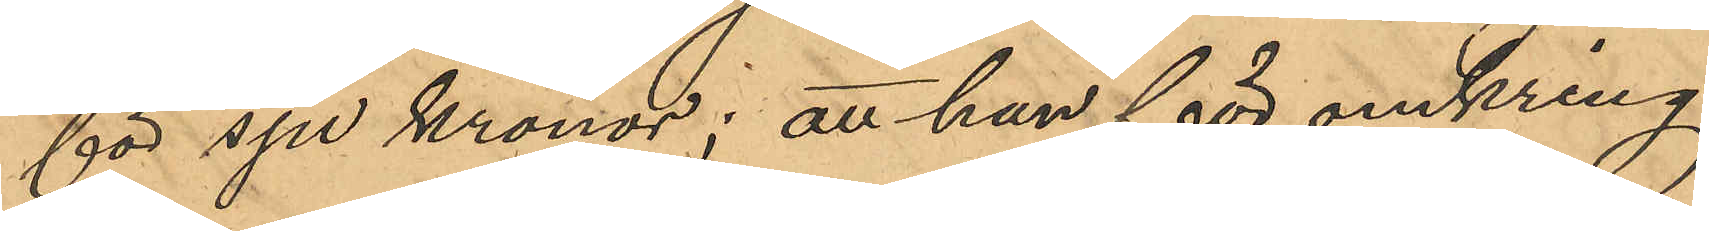för sju kronor; att han för omkring
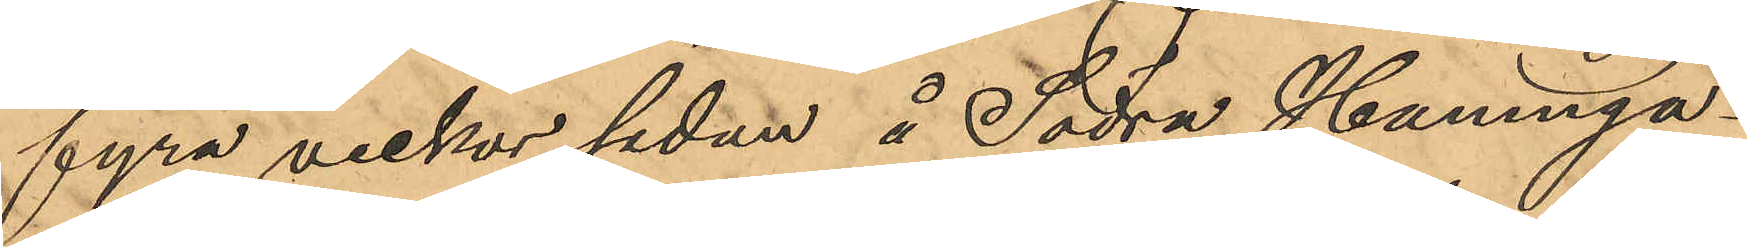fyra veckor sedan å Södra Hamnga¬
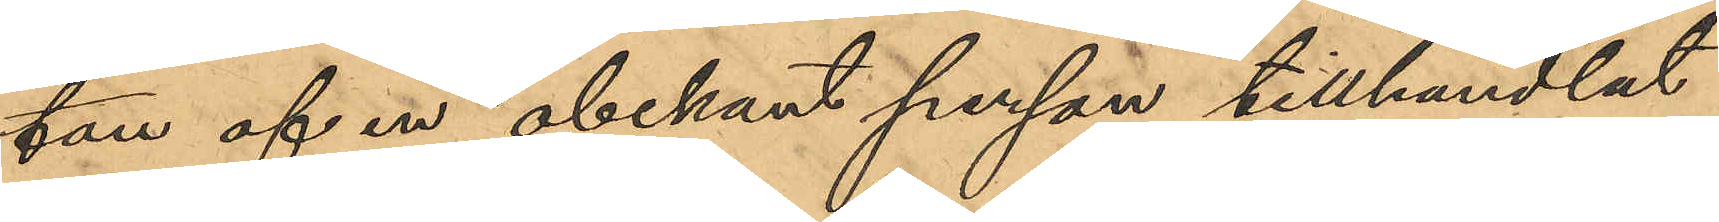tan af en obekant person tillhandlat
